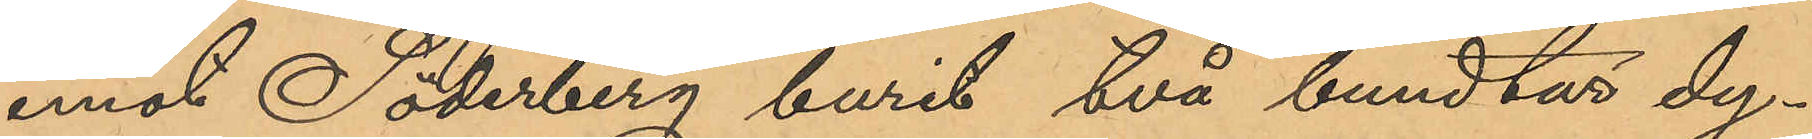emot Söderberg burit två bundtar dy¬
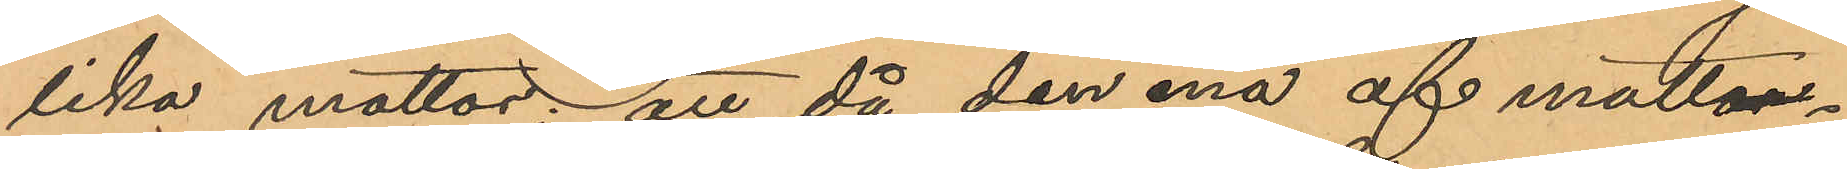lika mattor; att då den ena af matt¬
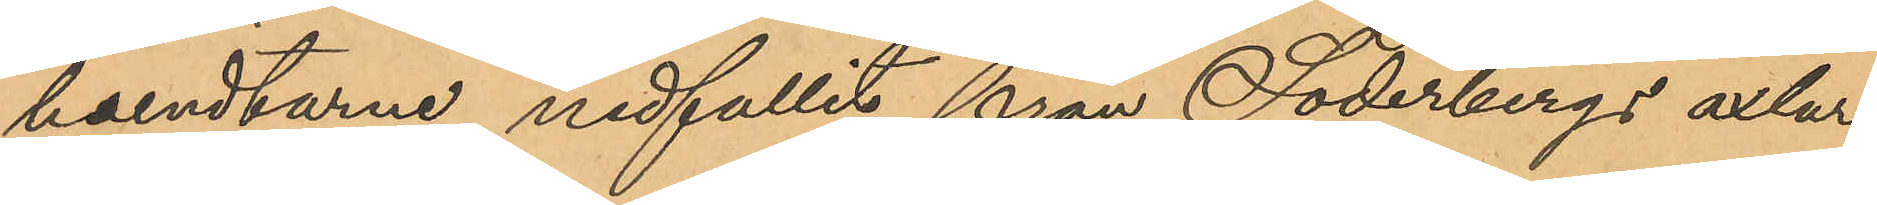bundtarne nedfallit från Söderbergs axlar,
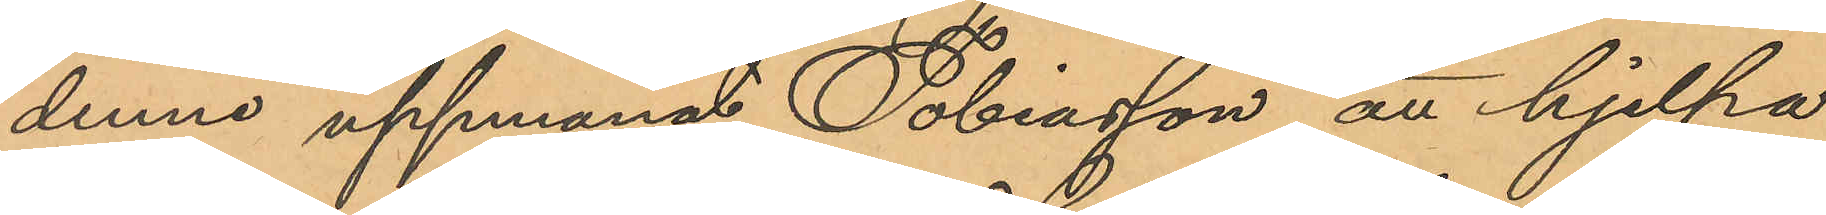denne uppmanat Tobiasson att hjelpa
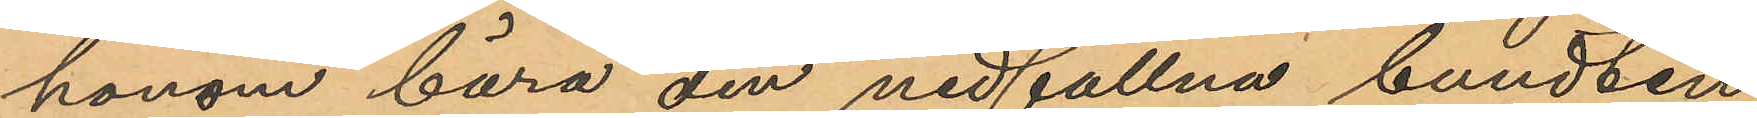honom bära den nedfallna bundten
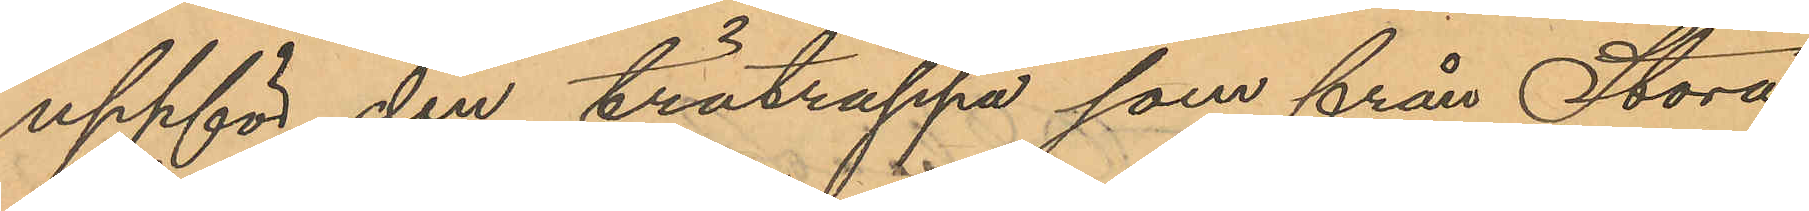uppför den trätrappa som från Stora
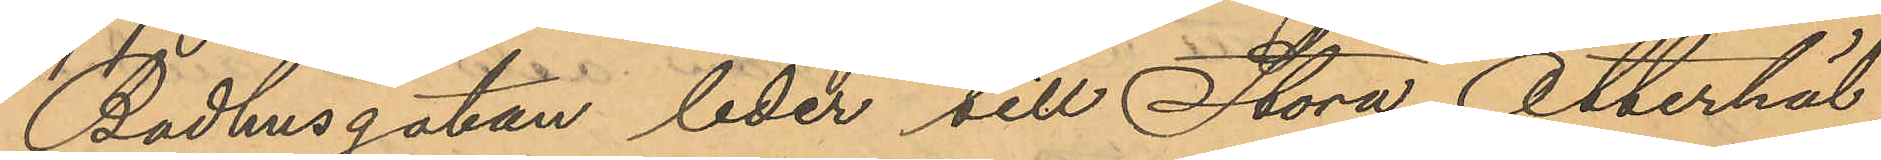Badhusgatan leder till Stora Otterhäl¬
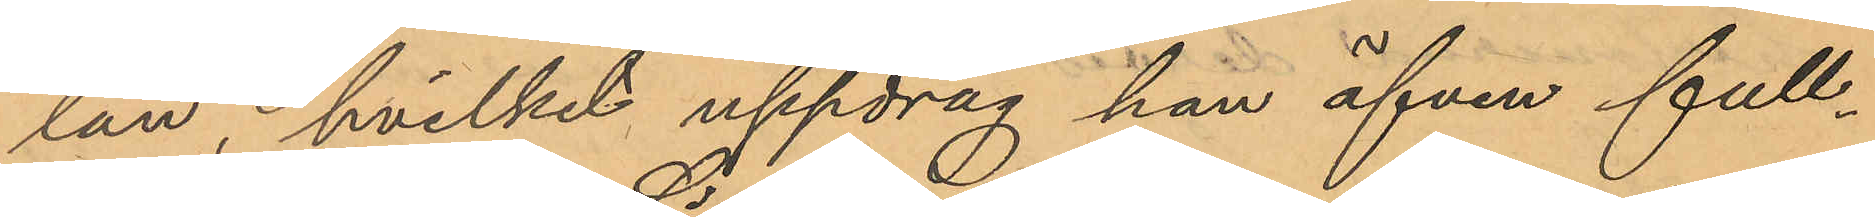lan, hvilket uppdrag han äfven full¬
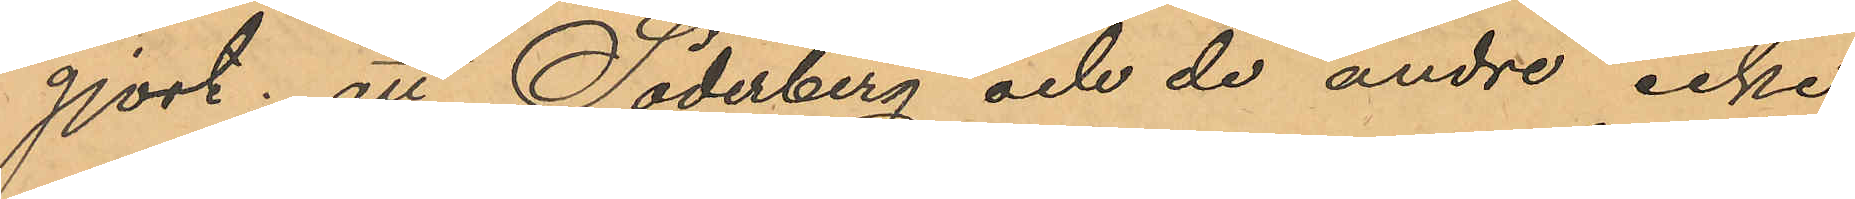gjort; att Söderberg och de andre icke
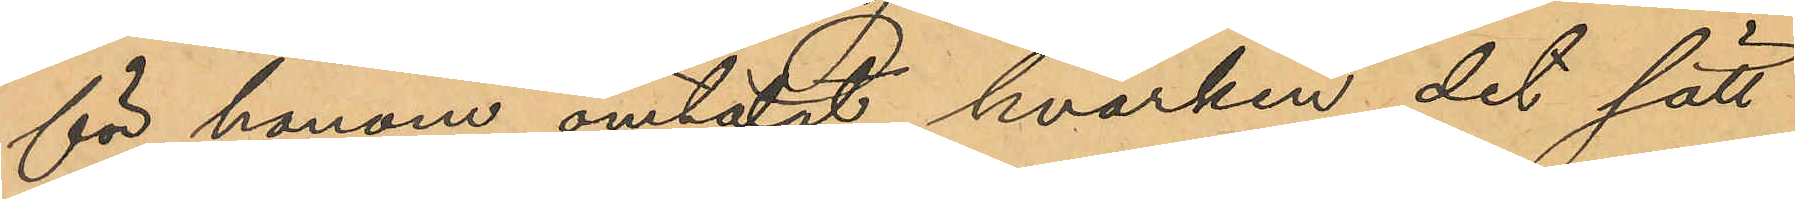för honom omtalat hvarken det sätt
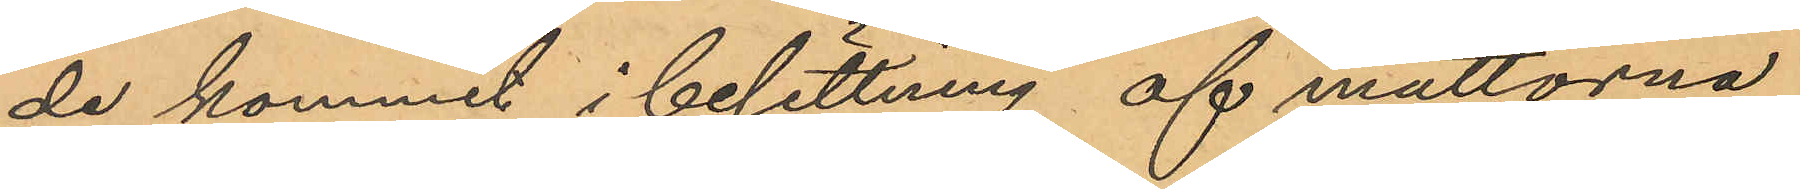de kommit i besittning af mattorna
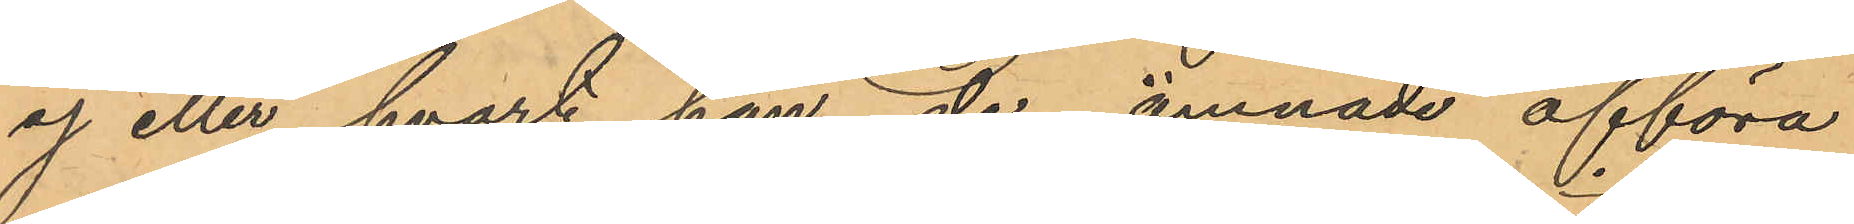ej eller hvart han de ämnade afföra
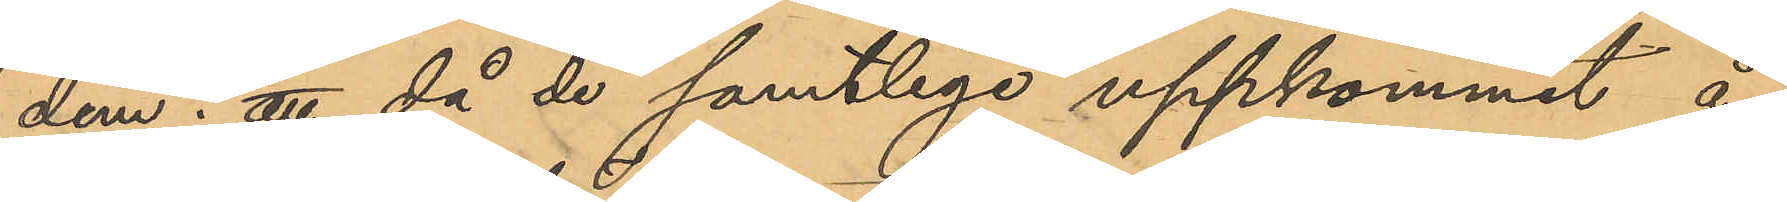dem; att då de samtlige uppkommit å
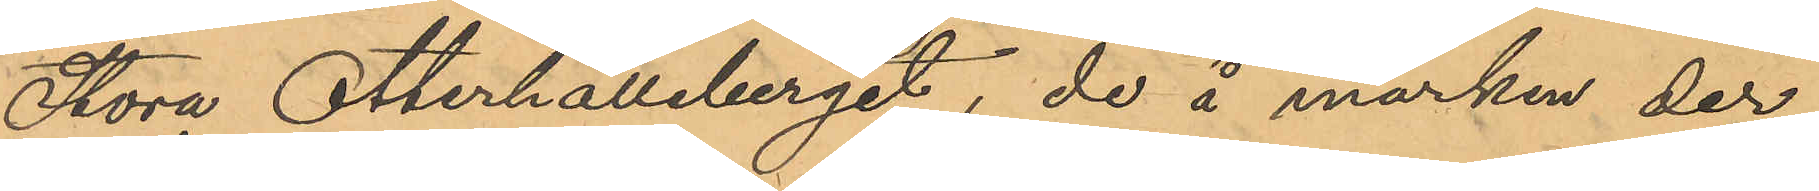Stora Otterhälleberget, de å marken der¬
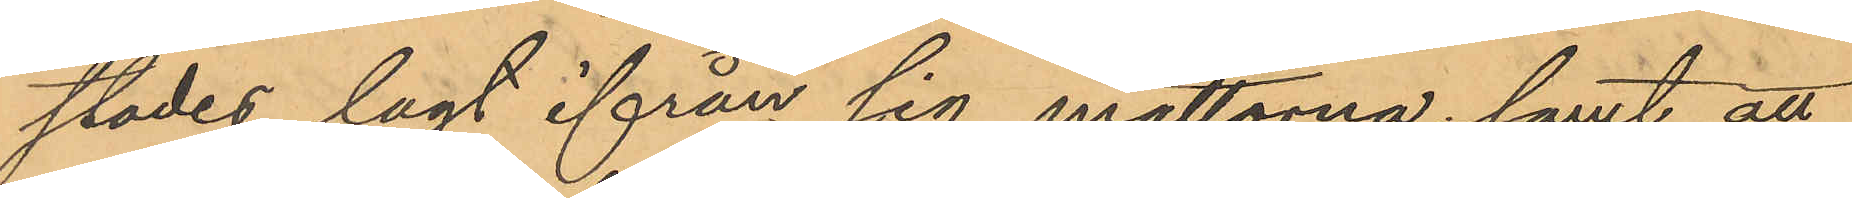städes lagt ifrån sig mattorna; samt att
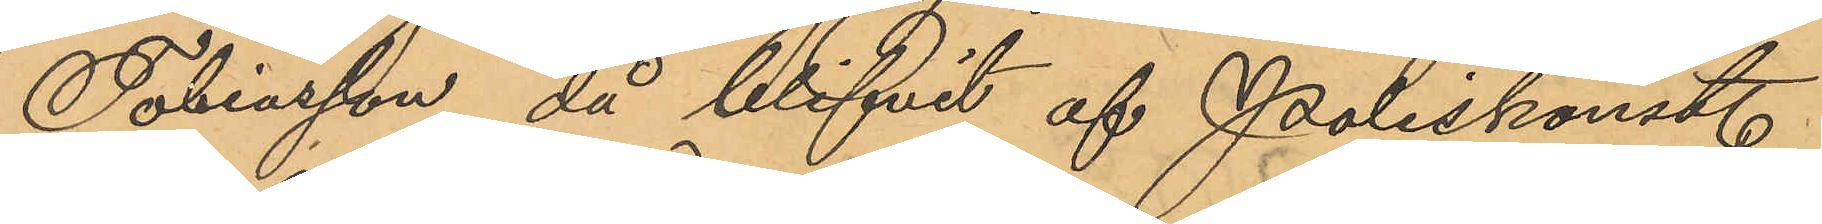Tobiasson då blifvit af Poliskonst.
